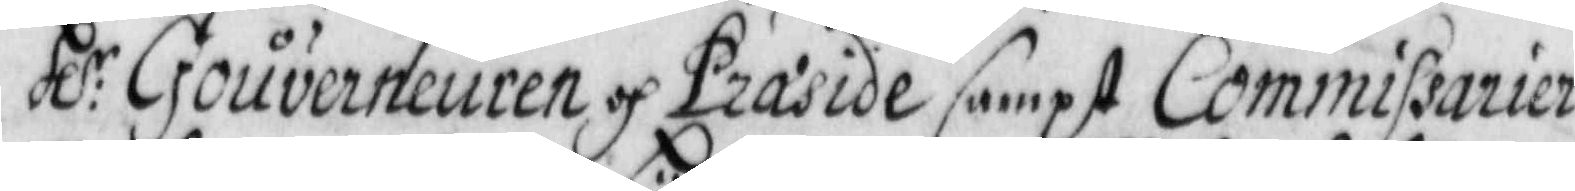Hl:r Gouverneurens och Præside sampt Commissarier
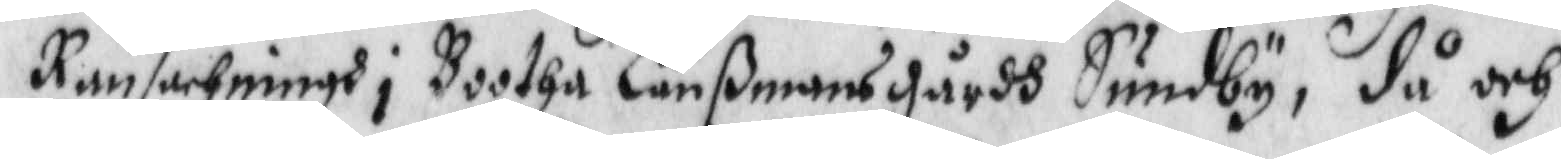Ransachningh i Bootha Länßmansgårdh Sundby, då och
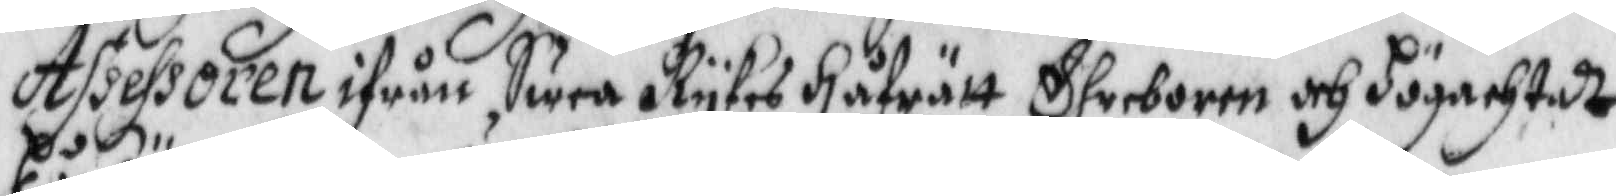Assessoren ifrån Swea Rykes Håfrätt ehreborne och Högachtadt
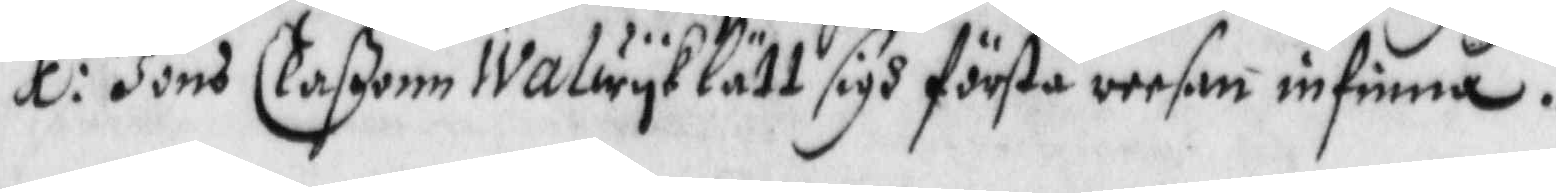Hl:r Jöns Claßonn Walwyk lätt sigh första reesan infinna.
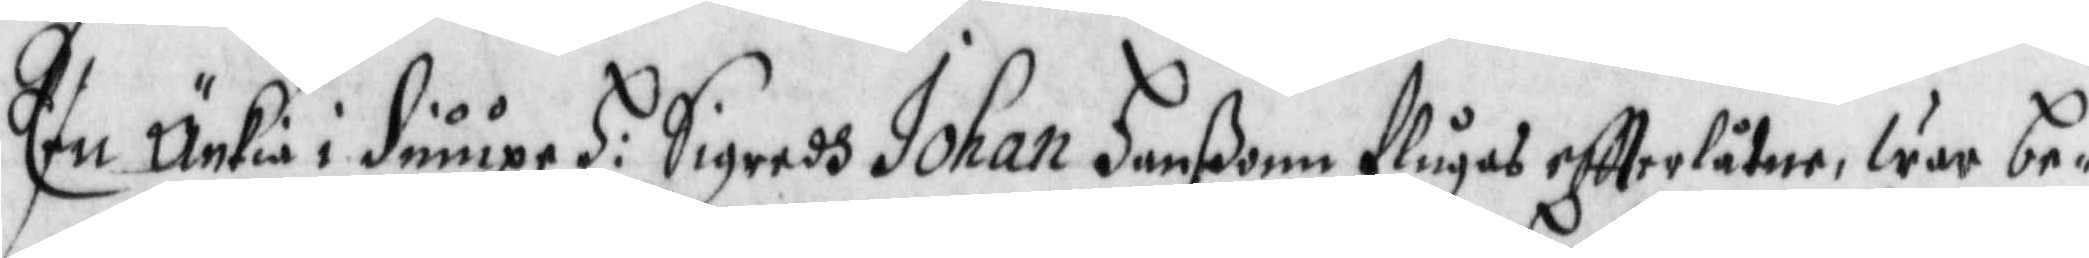Een Änkia i diuupe H: Sigredh Johan Hanßon flugas eftterlåtne, war be¬
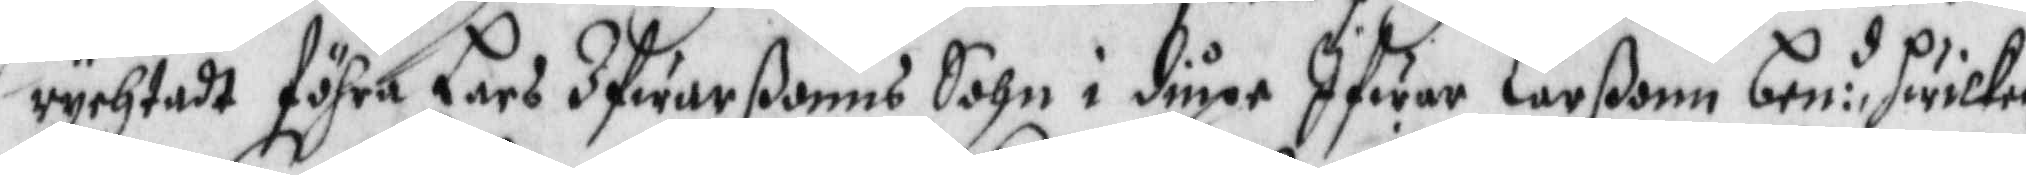rychtadt föhra Lars Ifwarßonns Sohn i diupe Ifwar Larßon ben:d hwilken
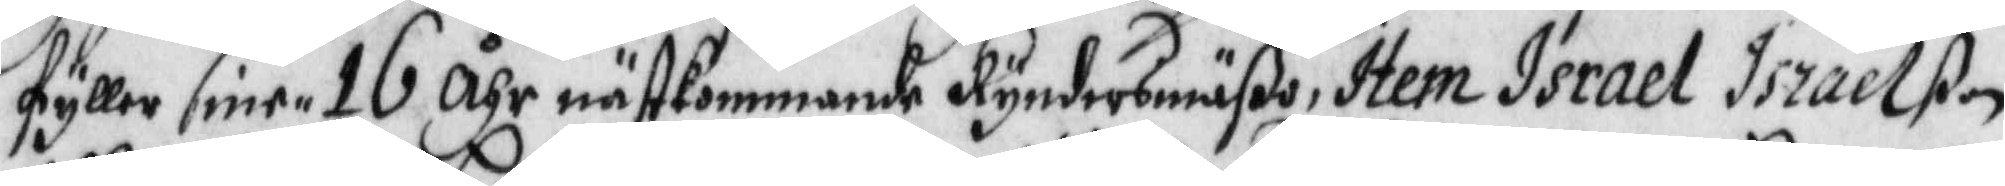fyller sine 16 åhr nästkommande Kyndersmäßo, Item Israel Israelßon
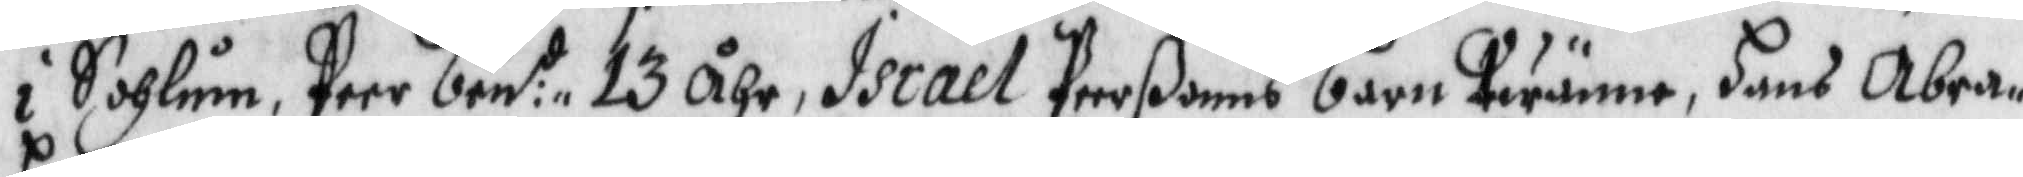i Sohlum, Peer ben:t 13 åhr, Israel Peerßoons barn twänne, Hans Abra¬
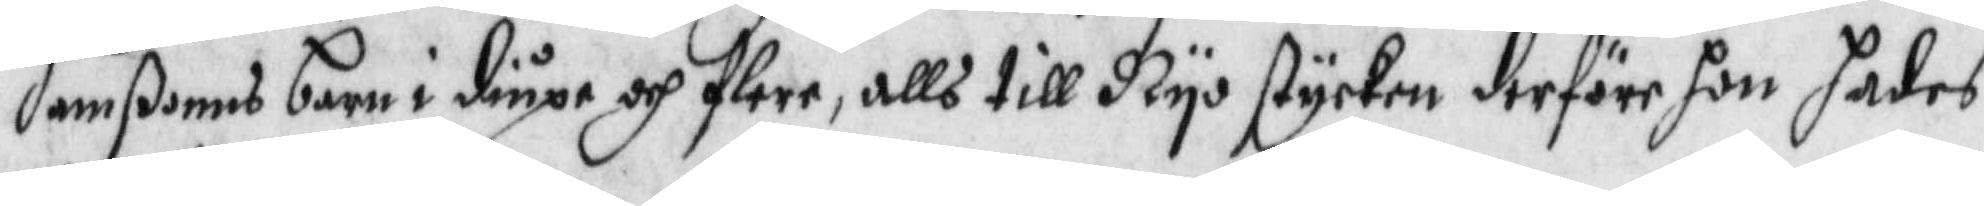hanßonns barn i diupe och flere, alls till Nyo stycken derföre hon hades
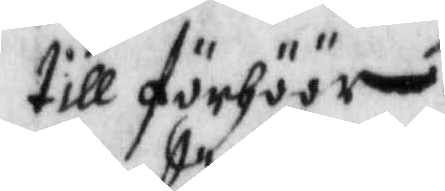till förhöör.
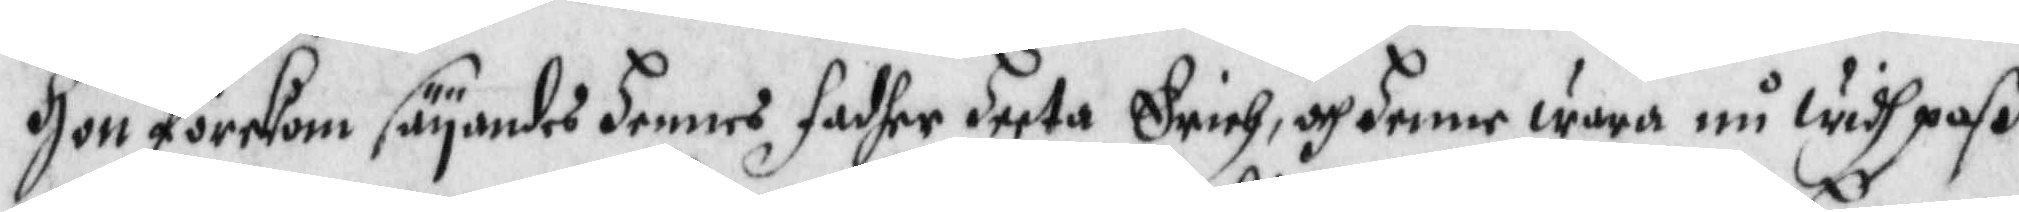Hon förekom säyandes hennes fadher heeta Erich, och hennes wara nu widh paß
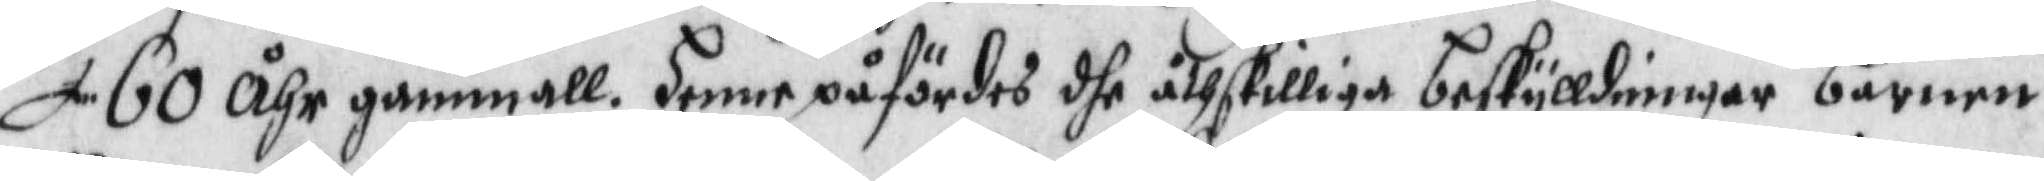60 åhr gammall. henne påfördes dhe åthskilliga beskylldningar barnen
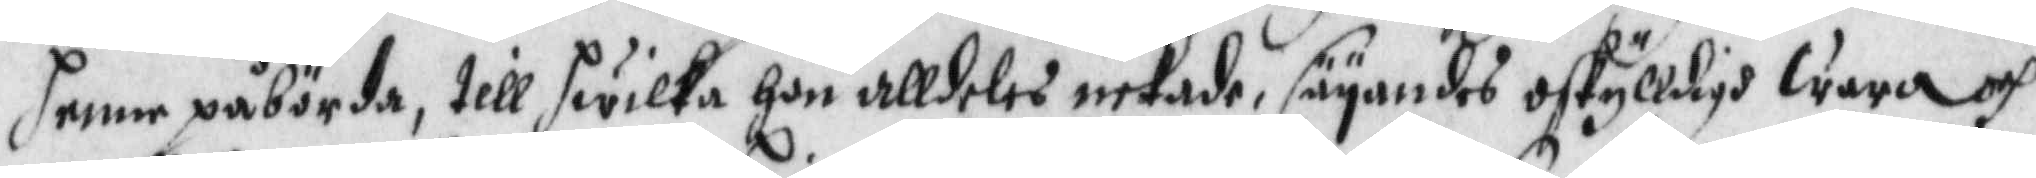henne påbörda, till hwilka hon alldeles nekade, säyandes oskylldigh wara och
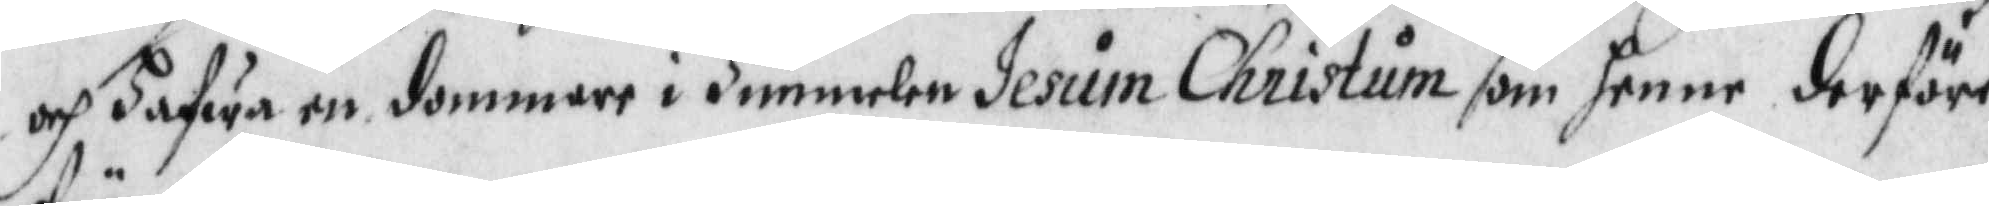och hafwa en dommare i Himmelen Jesum Christum som henne derföre
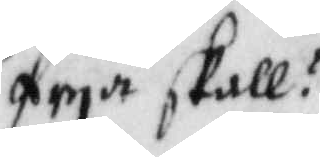frya skall!
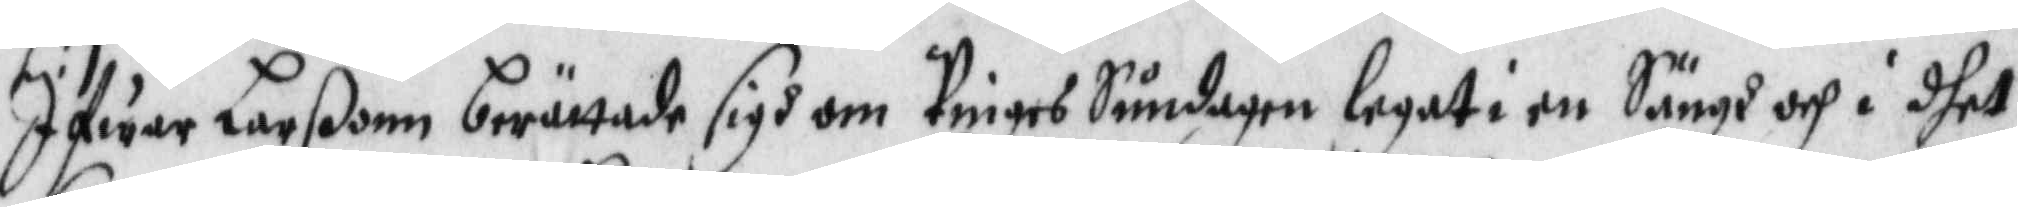Ifwar Larßonn berättade sigh om Pinges Söndagen legat i en Sänh och i dhet
